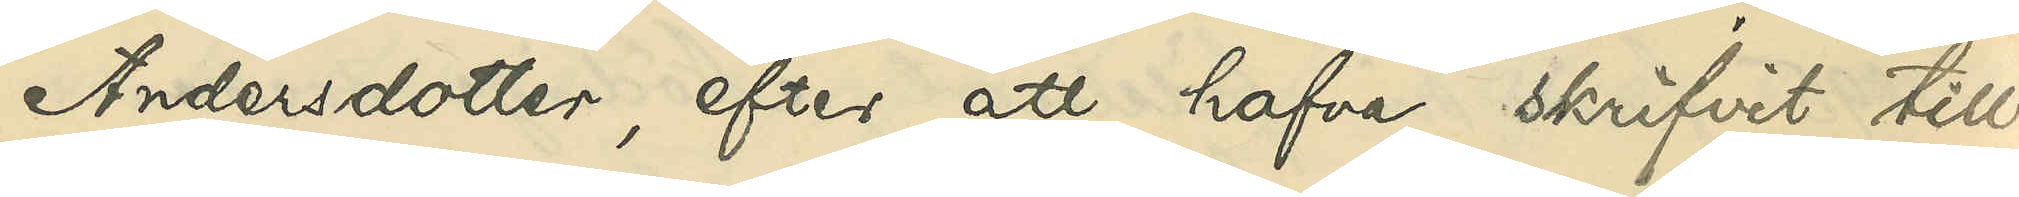Andersdotter, efter att hafva skrifvit till
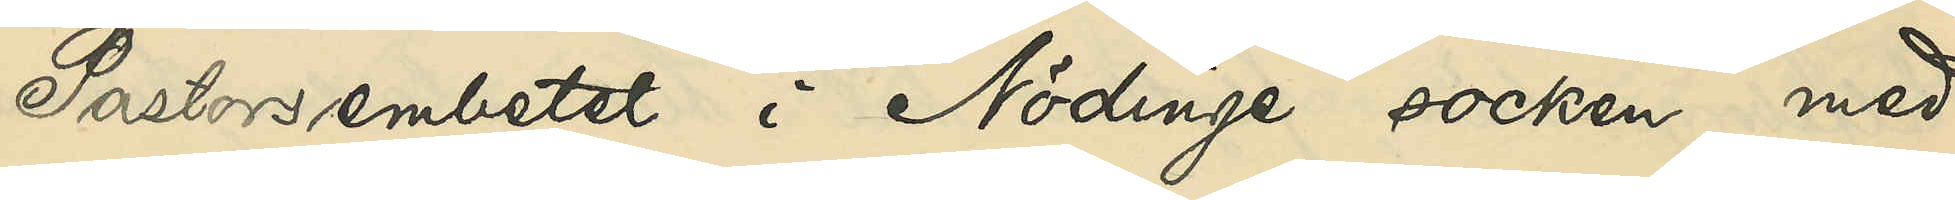Pastorsembetet i Nödinge socken med
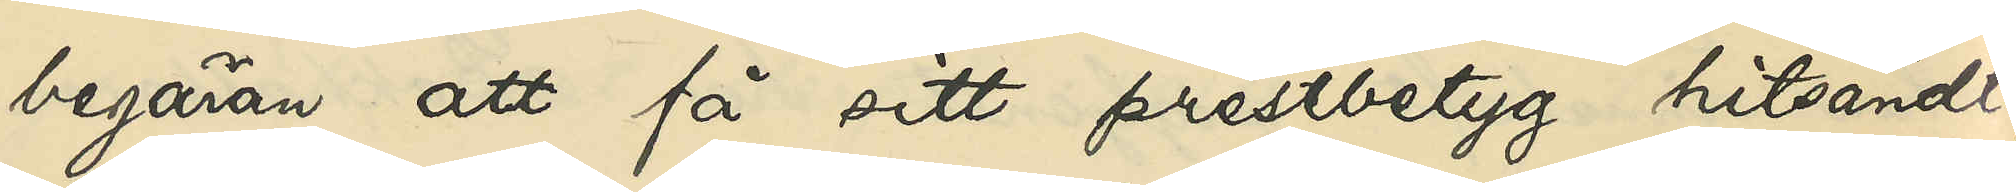begäran att få sitt prestbetyg hitsändt,
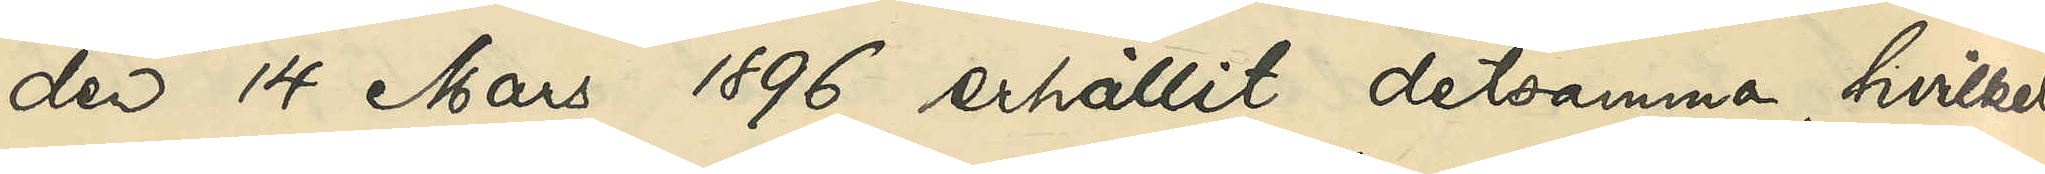den 14 Mars 1896 erhållit detsamma, hvilket
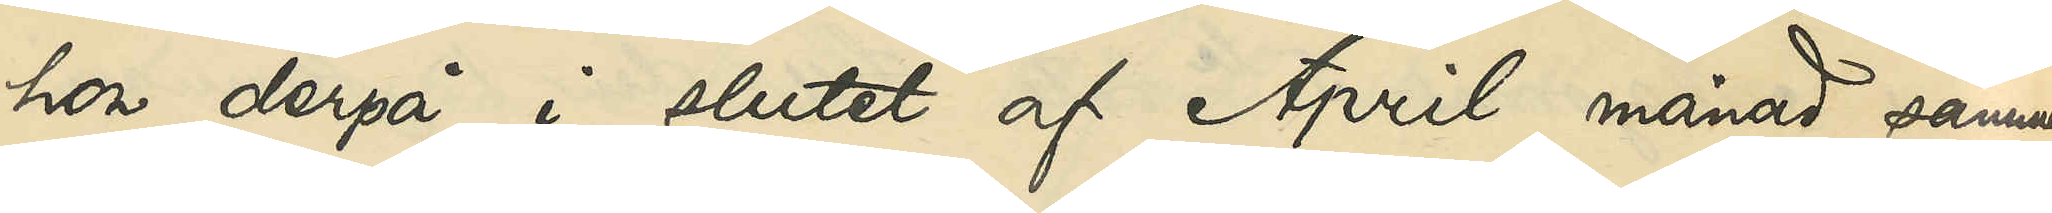hon derpå i slutet af April månad samma
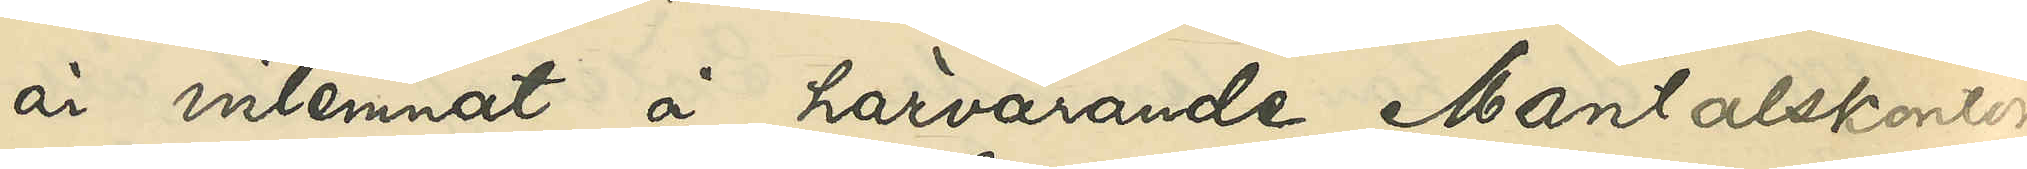år inlemnat å härvarande Mantalskontor
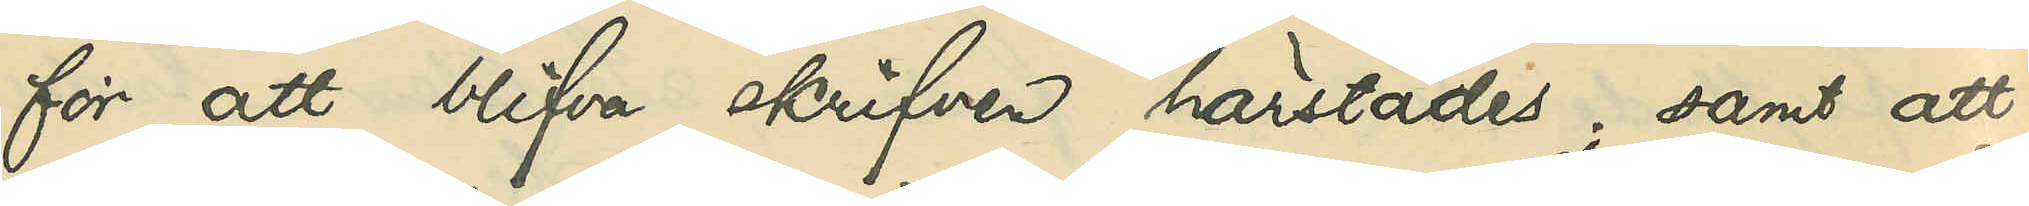för att blifva skrifven härstädes; samt att
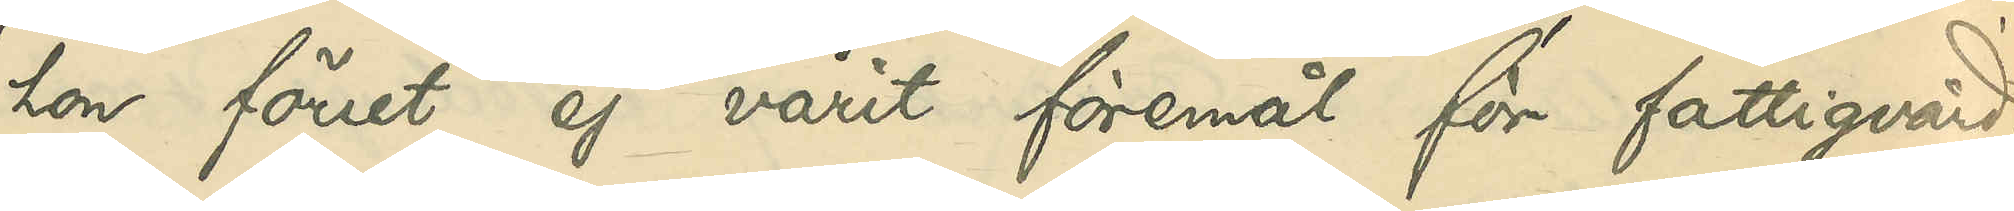hon förut ej varit föremål för fattigvård.
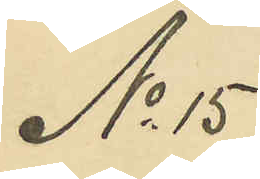No 15
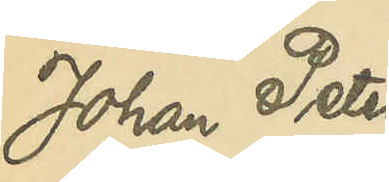Johan Peter
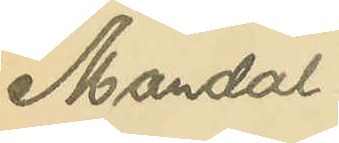Mandal
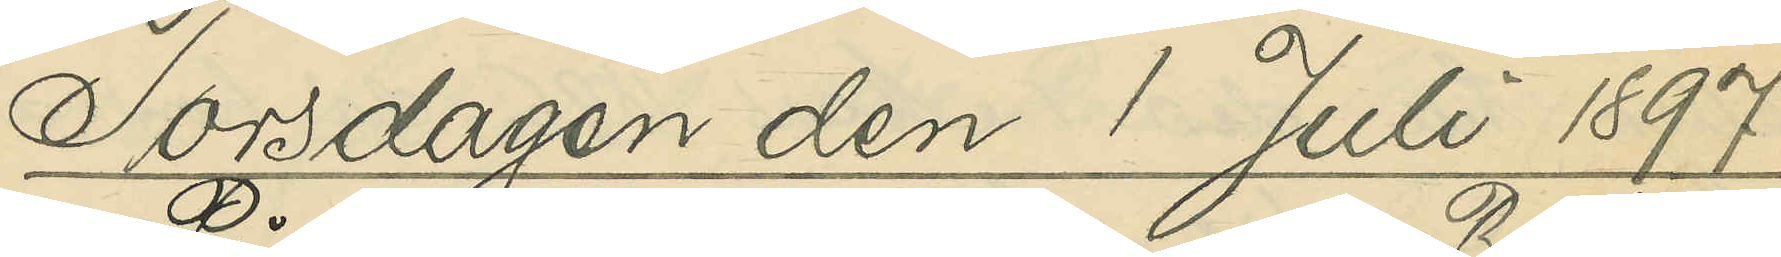Torsdagen den 1 Juli 1897.
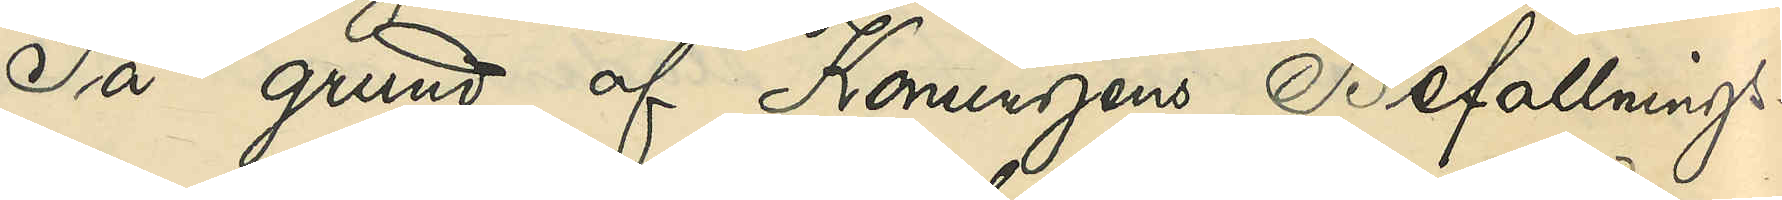På grund af Konungens Befallnings¬
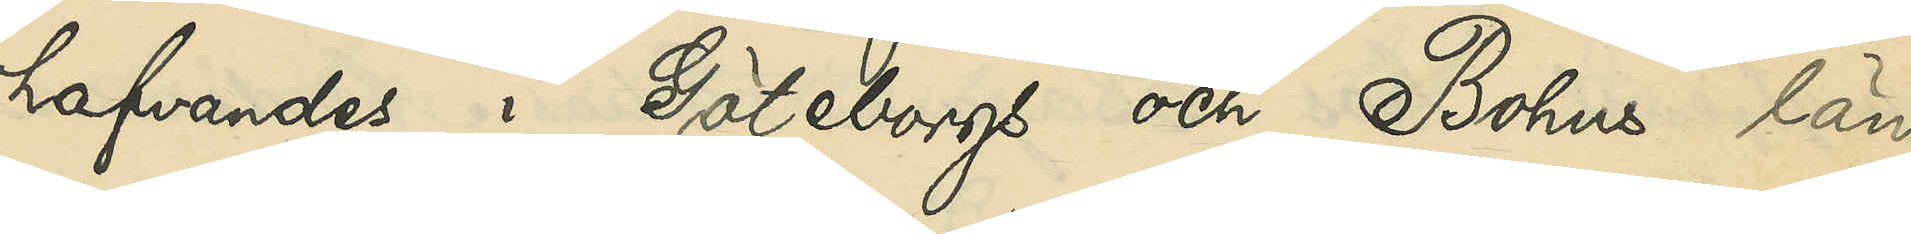hafvandes i Göteborgs och Bohus län
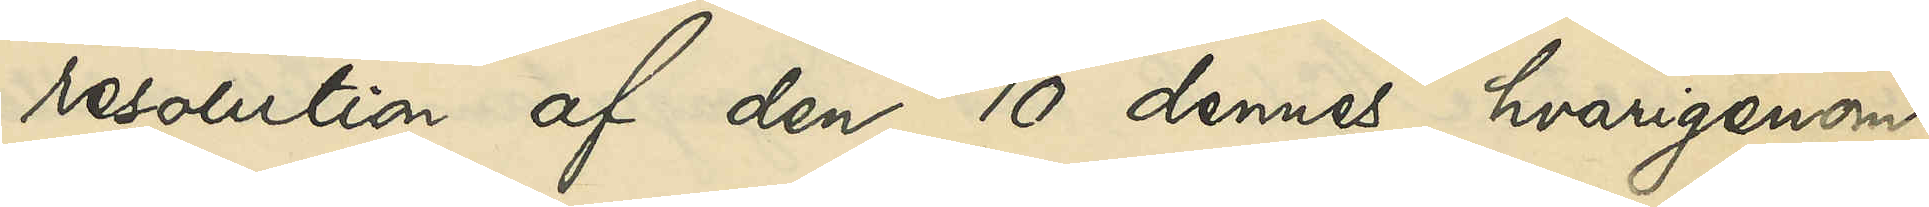resolution af den 10 dennes, hvarigenom
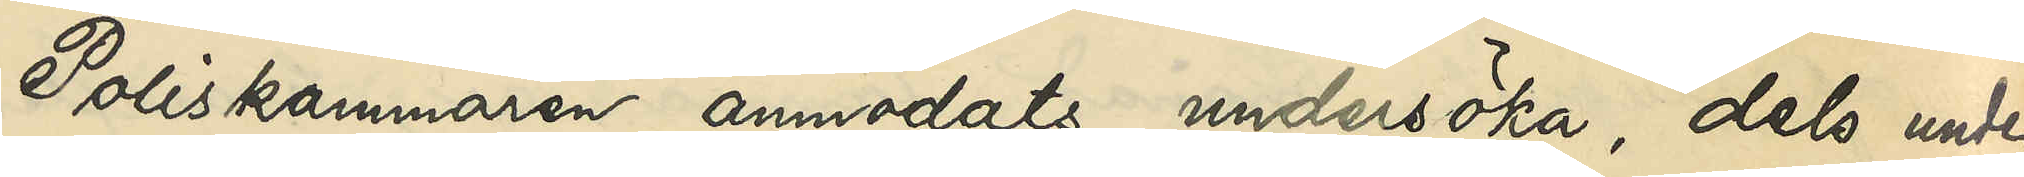Poliskammaren anmodats undersöka, dels under
